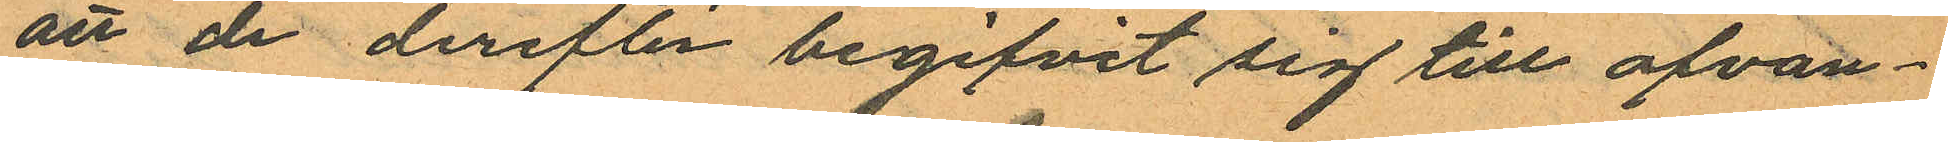att de derefter begifvit sig till ofvan¬
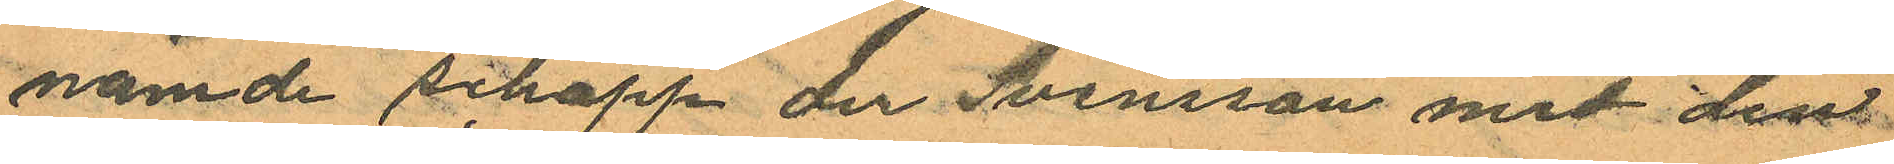nämde schapp der Svensson med den
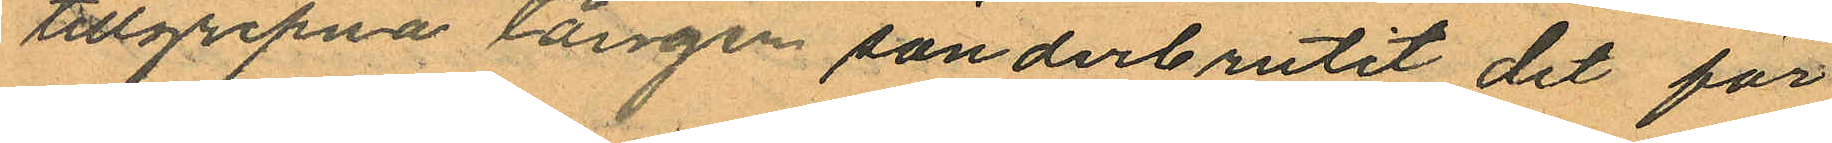tillgripna tången sönderbrutit det för
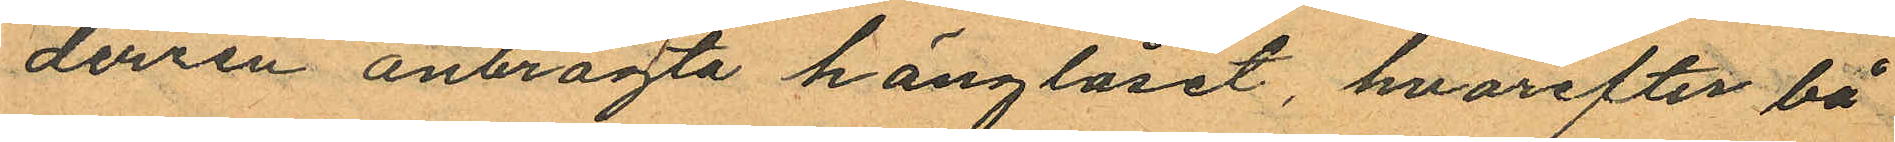dörren anbragta hänglåset, hvarefter bå¬
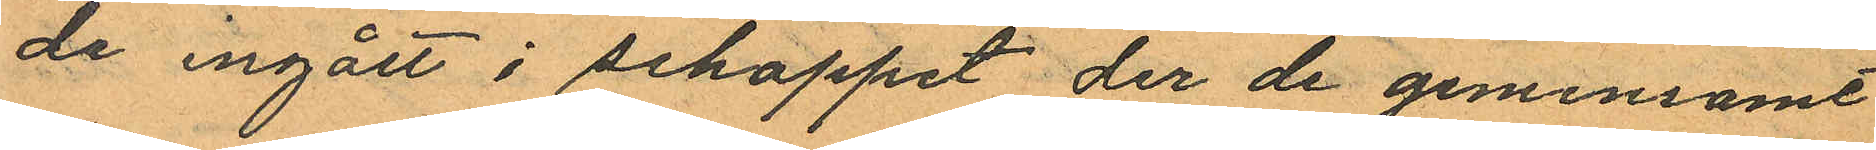da ingått i schappet der de gemensamt
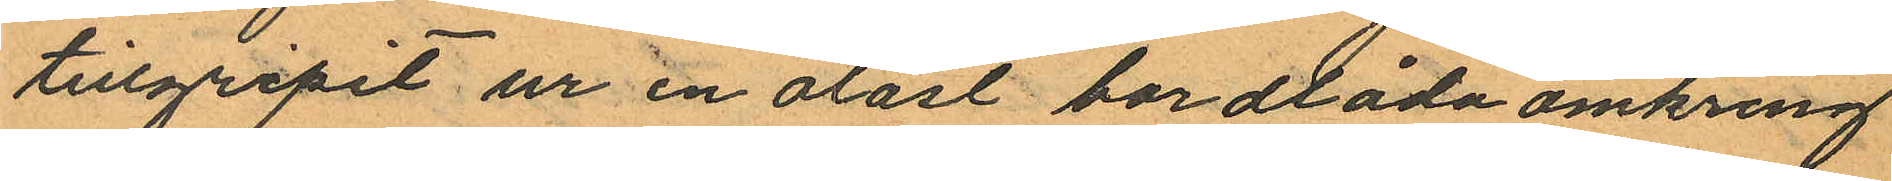tillgripit ur en olåst bordlåda omkring
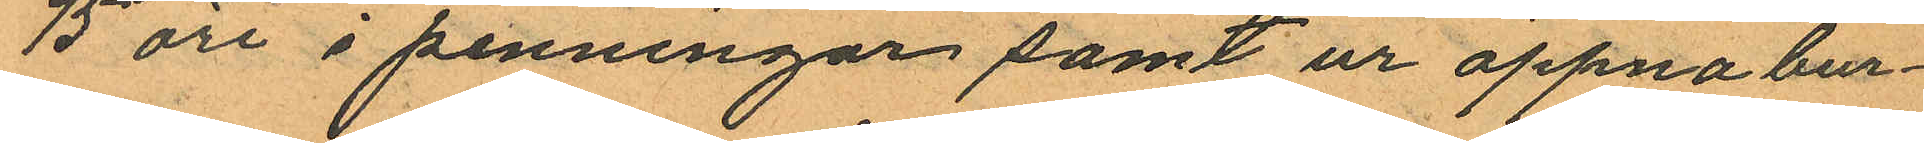75 öre i penningar samt ur öppna bur¬
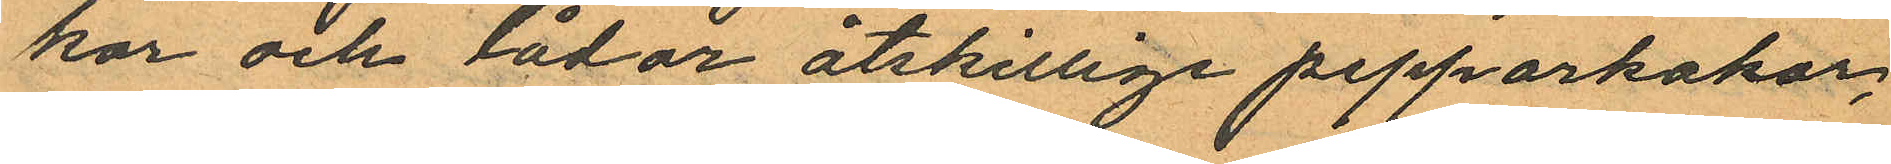kar och lådor åtskillige pepparkakor,
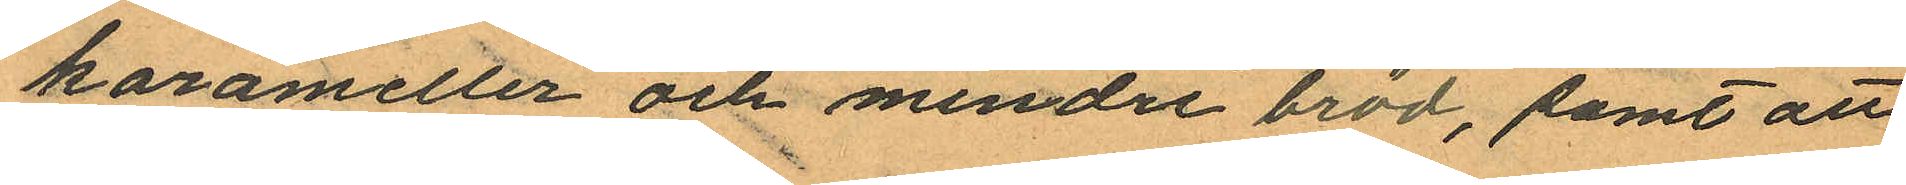karameller och mindre bröd, samt att
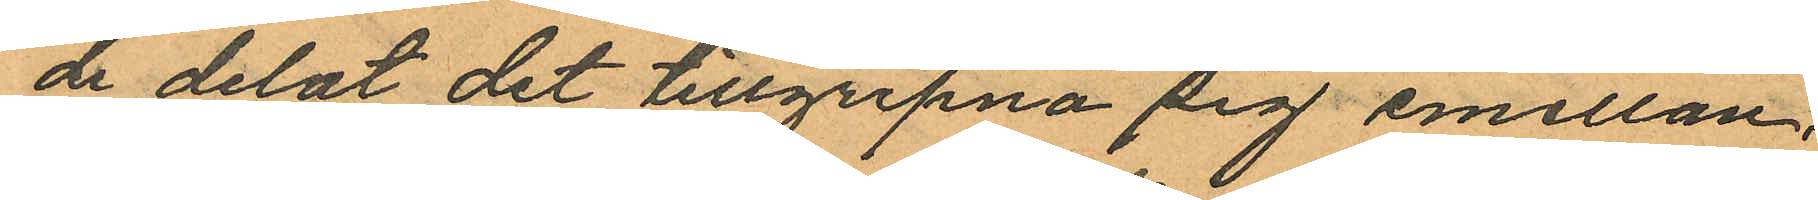de delat det tillgripna sig emellan.
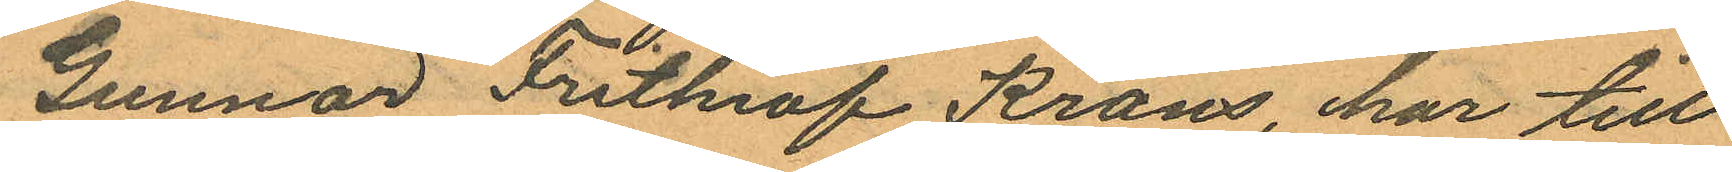Gunnar Frithiof Krans, har till
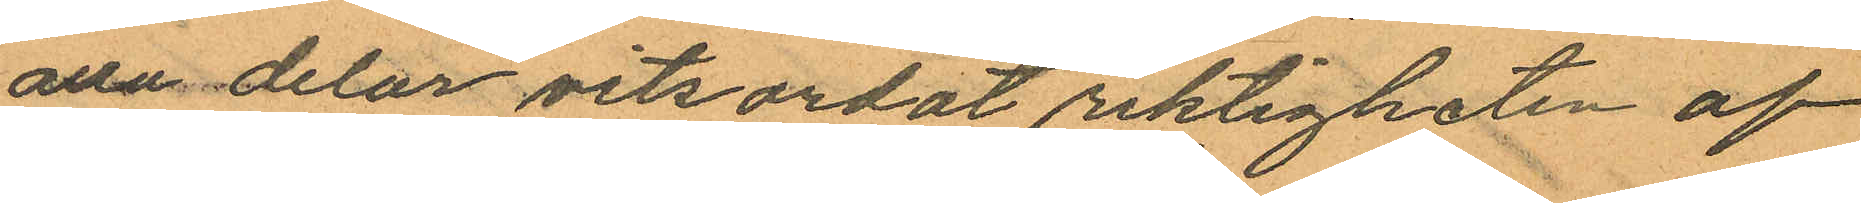alla delar vitsordat riktigheten af
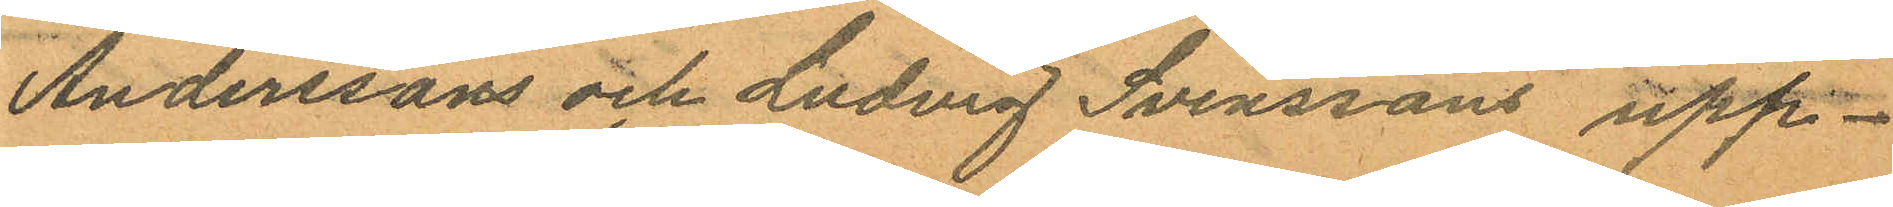Anderssons och Ludvig Svenssons upp¬
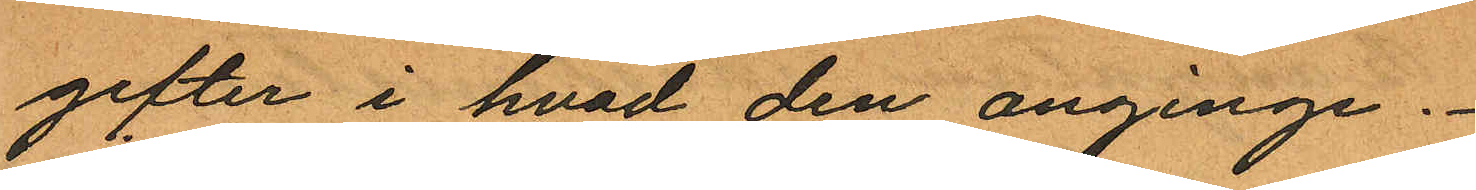gifter i hvad den anginge.
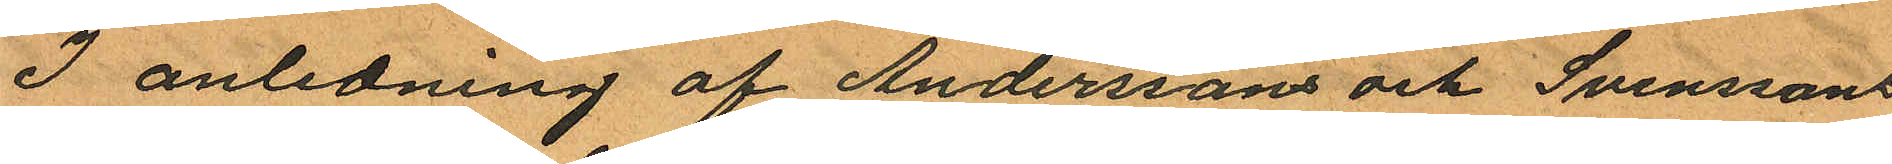I anledning af Anderssons och Svenssons
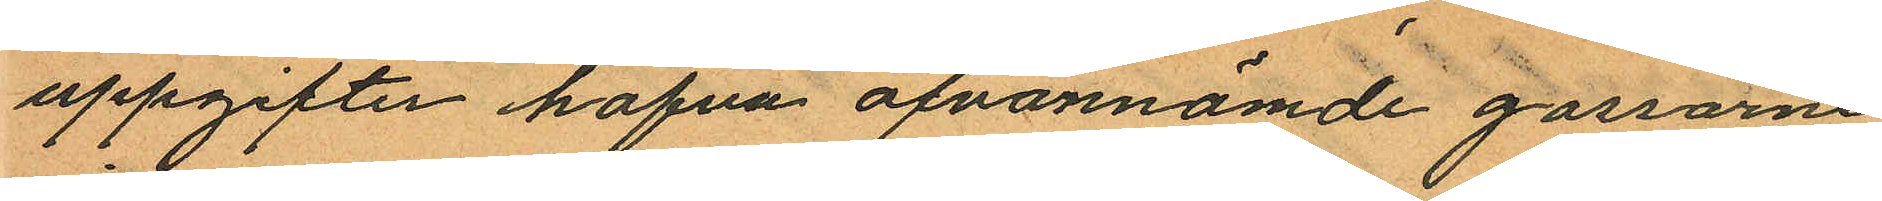uppgifter hafva ofvannämde gossarne
